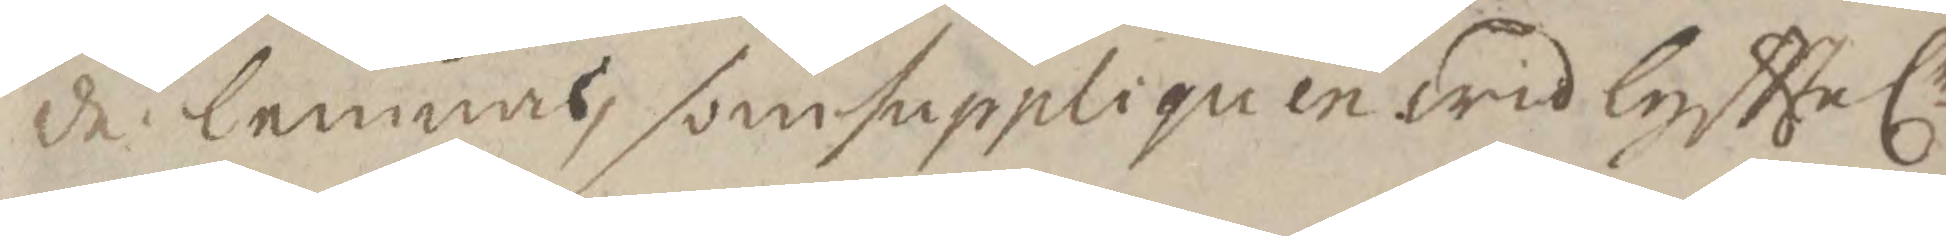de lemnas, som suppliquen wid lyfttelr
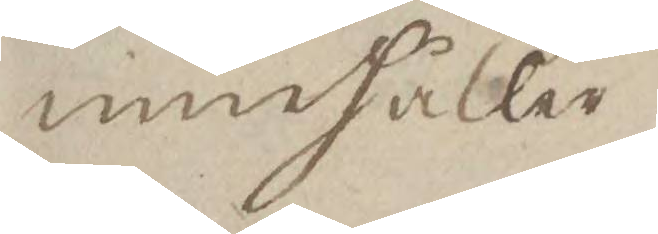innehåller.
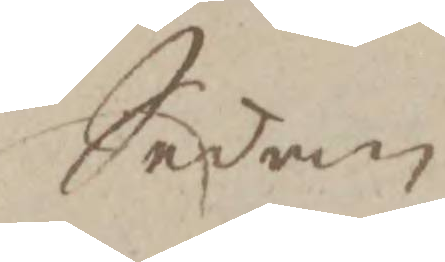Sedan
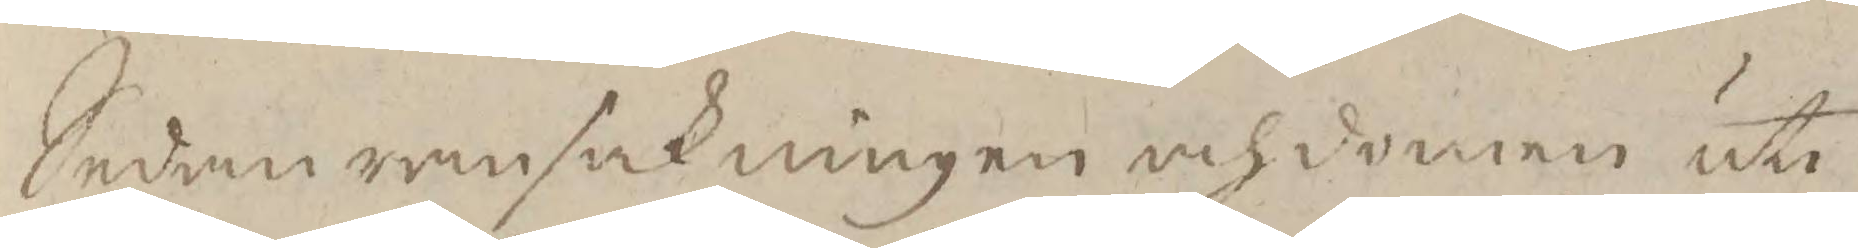Sedan ransakningen och domen uti
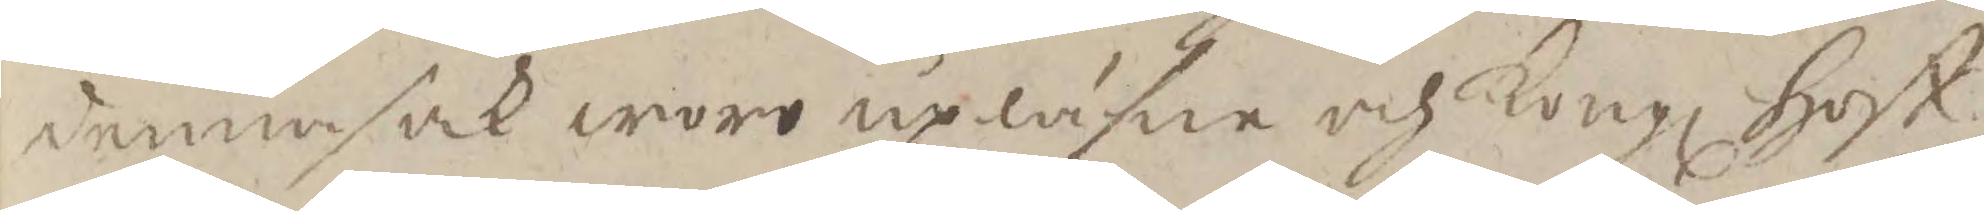denna sak woro upläsne och Kongl Hoff¬
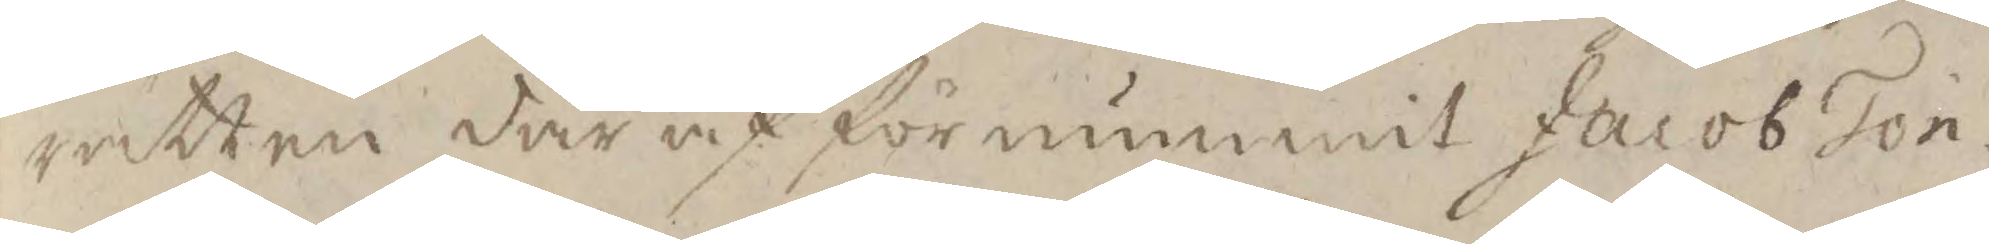rätten där af förnummit Jacob Tön¬
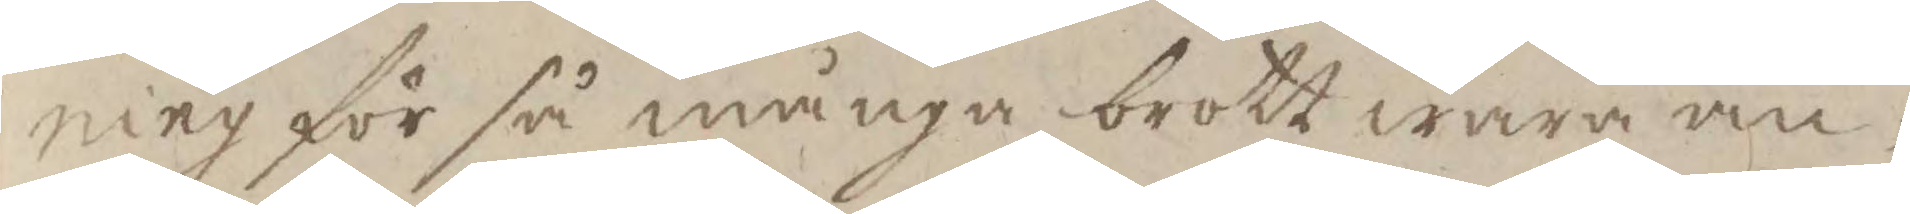ning för så många brott wara an¬
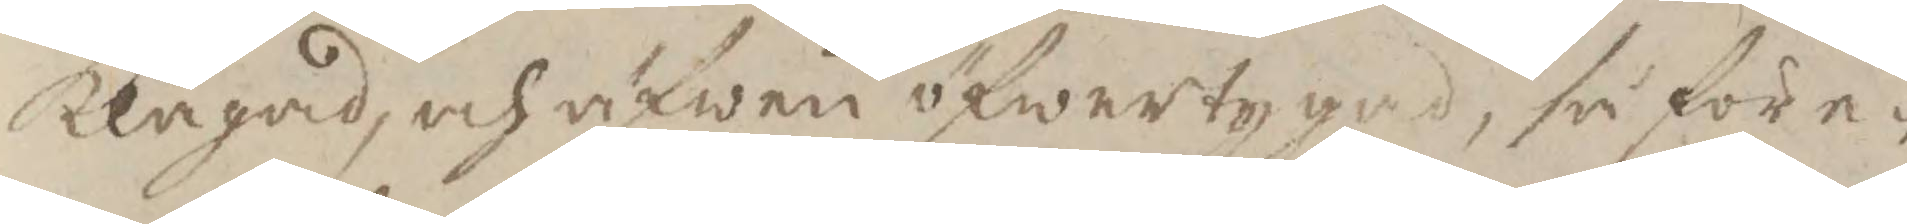klagad, och äfween öfwertygad, så före¬
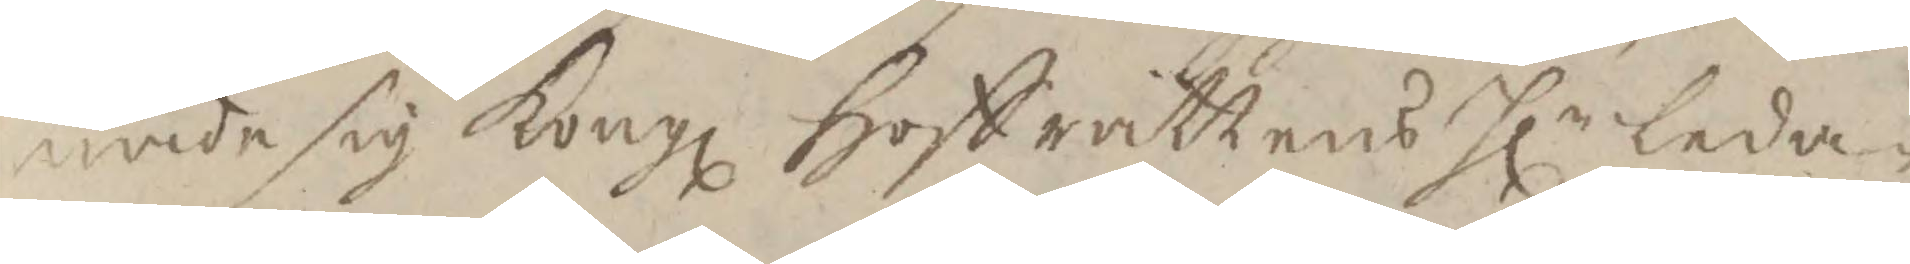nade sig Kongl hoffrättens Hlr leda¬
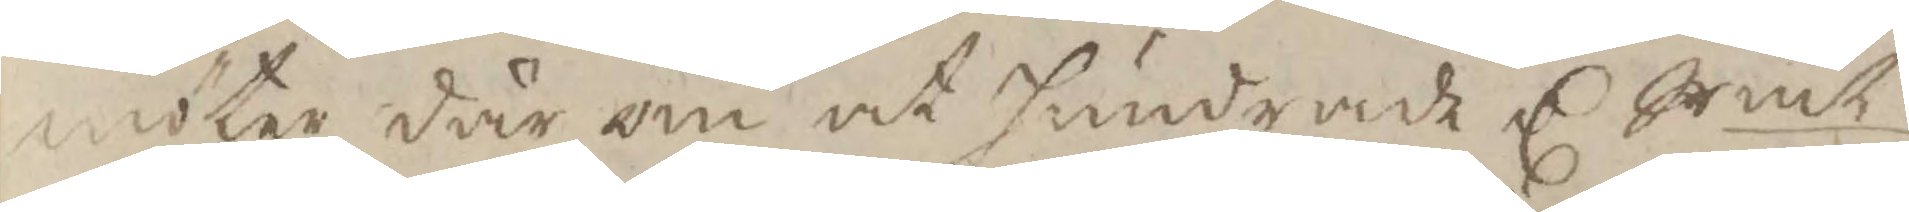möter där om at hundrade C Srmt
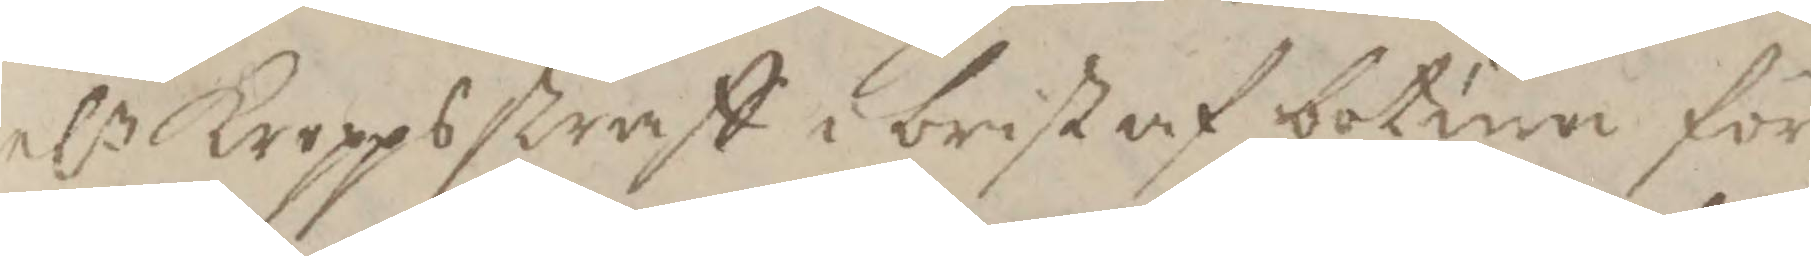elr Kroppsstraff i brist af botum för
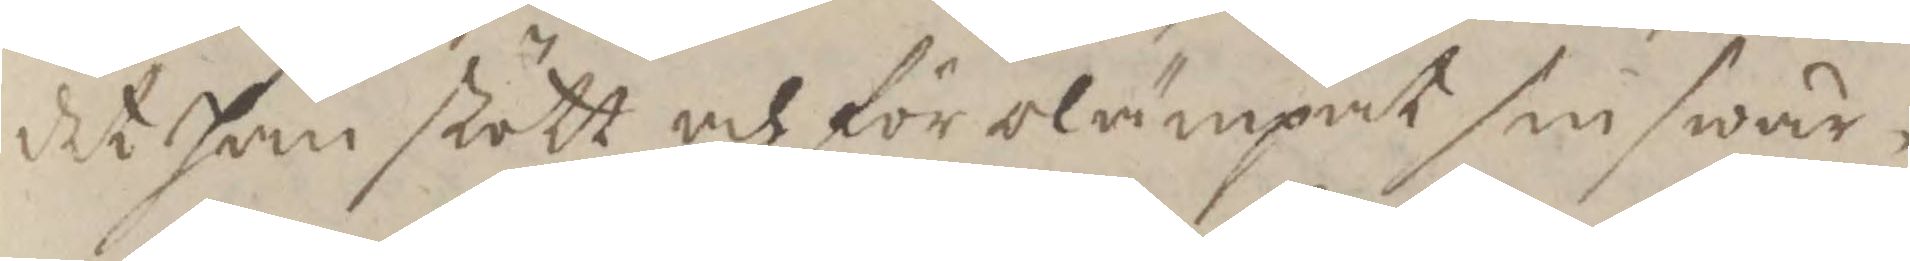det han stött och förolämpat sin swär¬
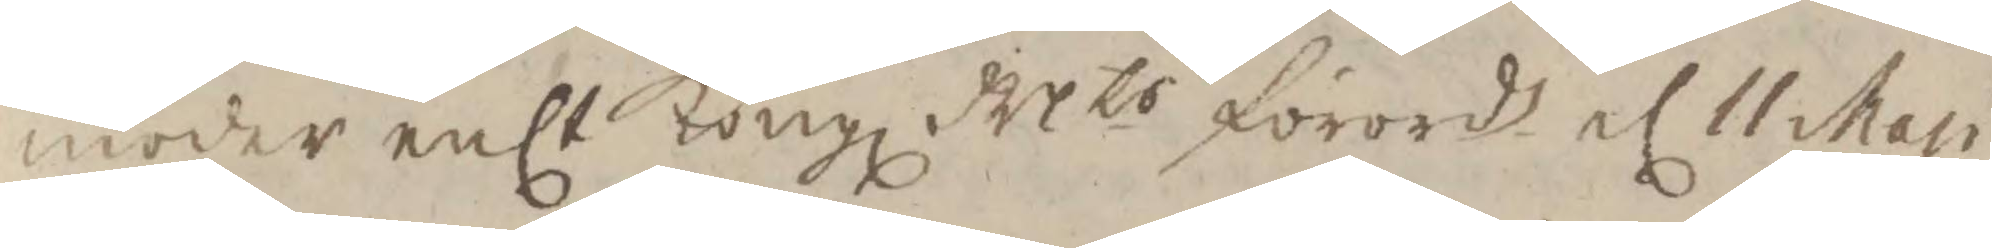moder enlt Kongl Mts förords el 11 Maji
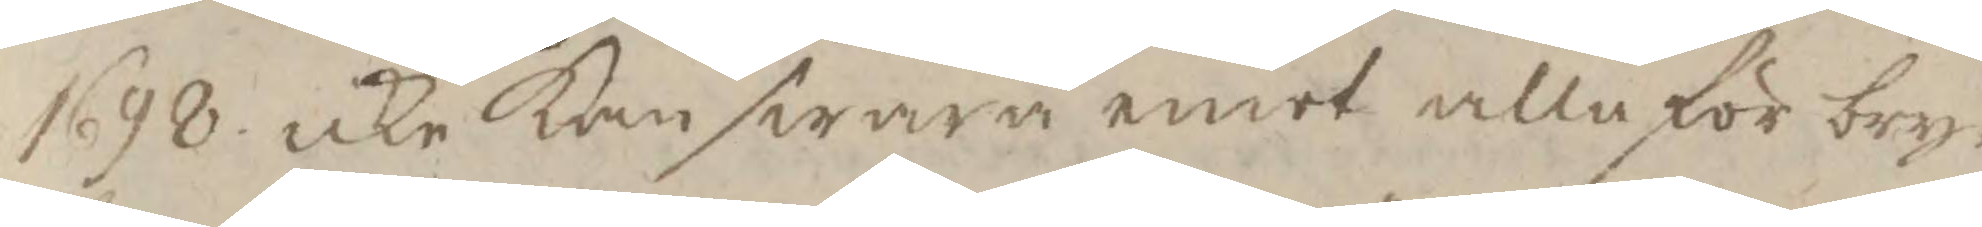1698 icke kan swara emot alla för bry¬
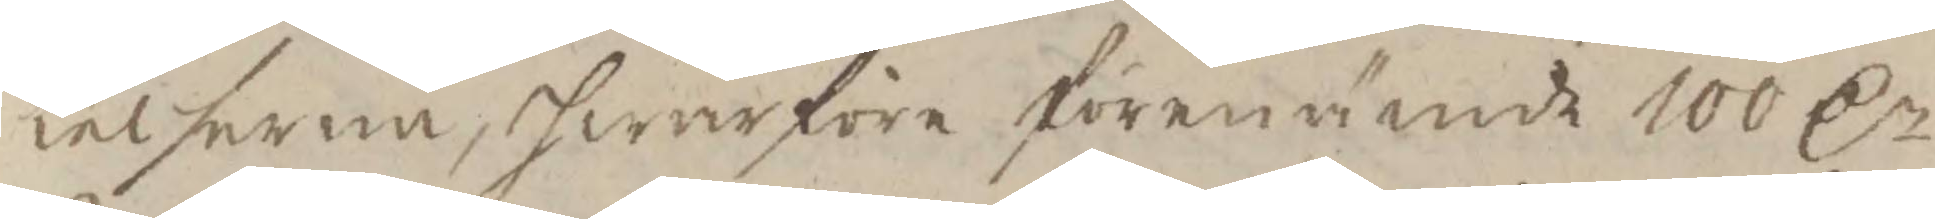telserna, hwarföre förenämnde 100 Cr
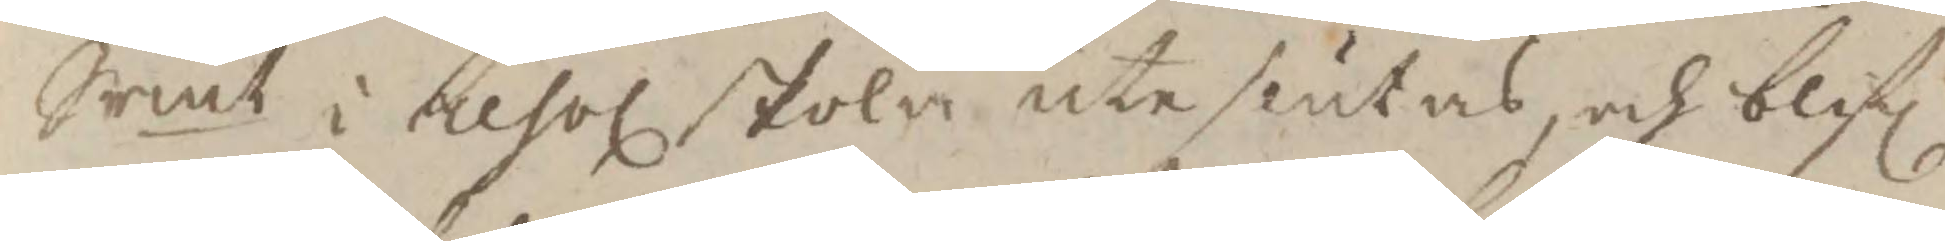Srmt i resol skola uteslutas, och blif
